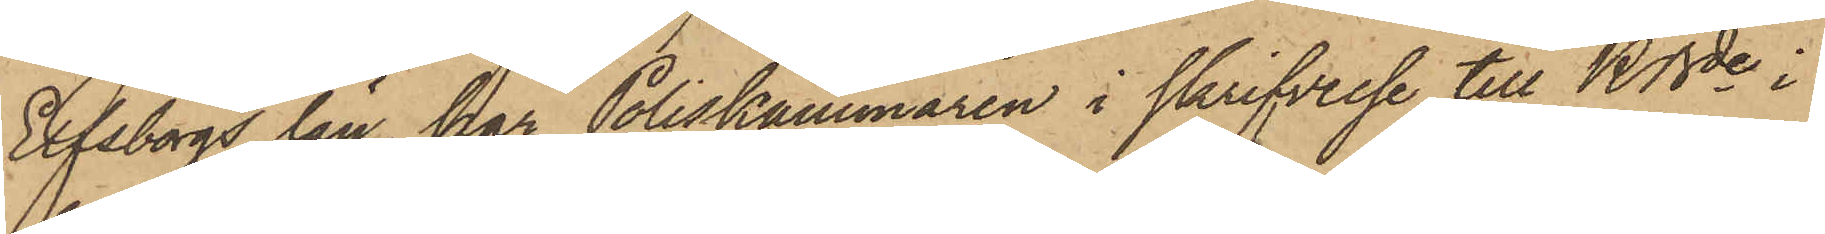Elfsborgs län, har Poliskammaren i skrifvelse till KBde i
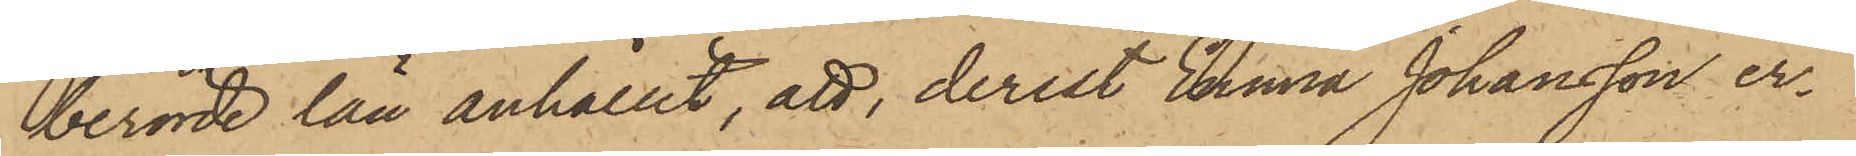berörde län anhållit, att, derest Anna Johansson er¬
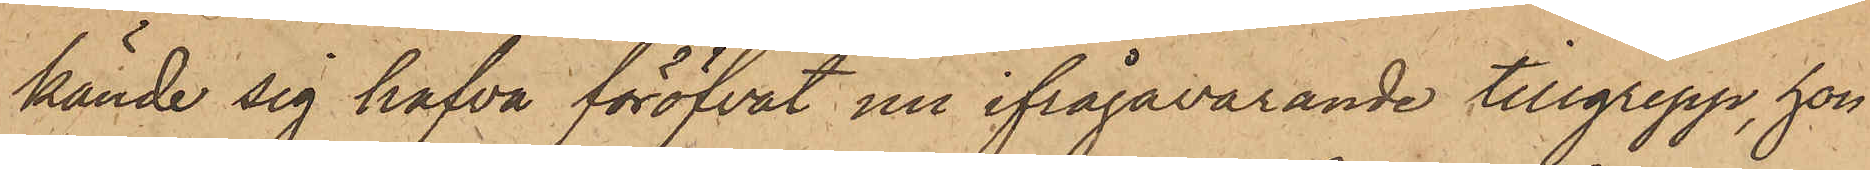kände sig hafva föröfvat nu ifrågavarande tillgrepp, hon
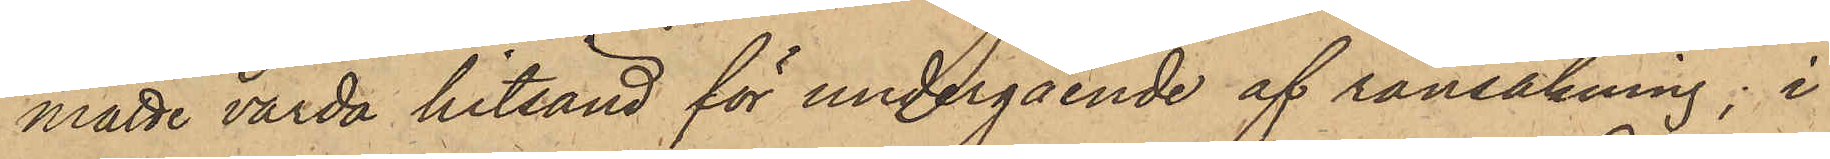måtte varda hitsänd för undergående af ransakning; i
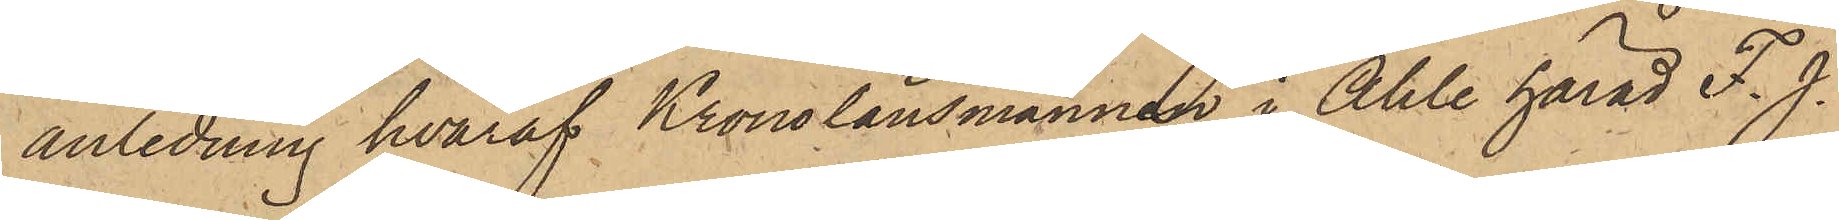anledning hvaraf Kronolänsmannen i Ahle härad F. J.
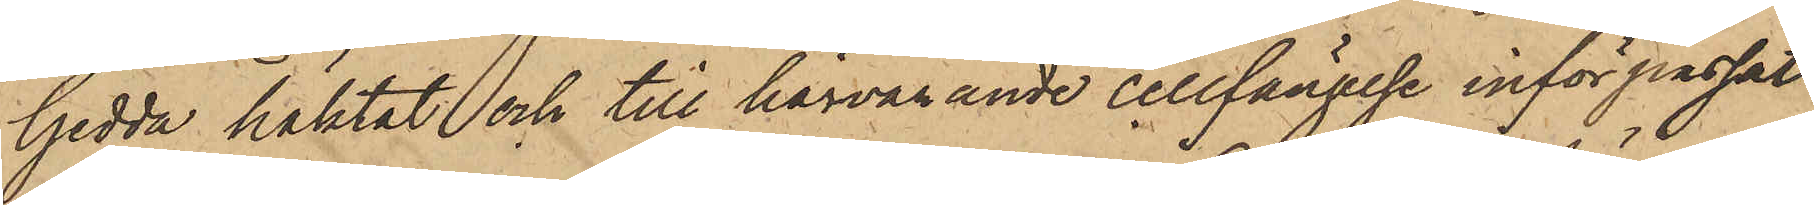Gedda häktat och till härvarande cellfängelse införpassat
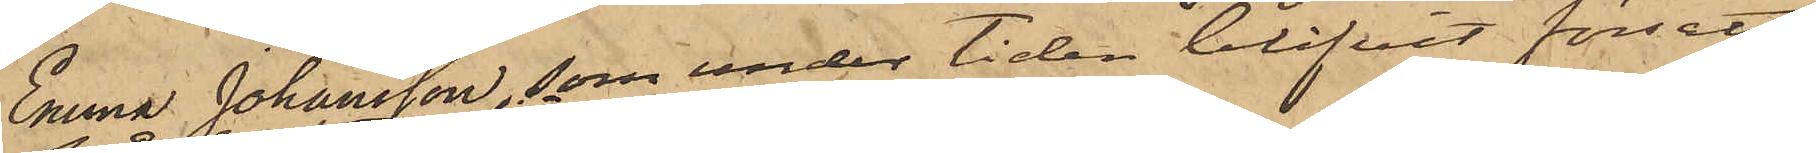Emma Johansson, som under tiden blifvit försatt
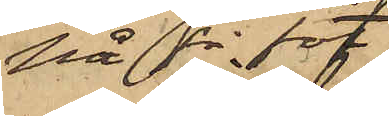på fri fot.
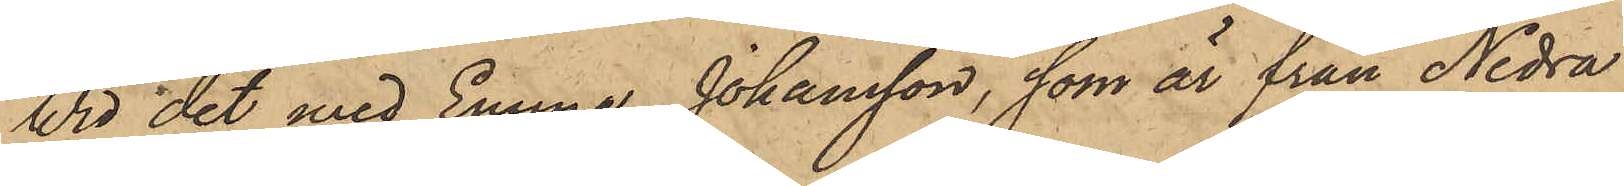Wid det med Emma Johansson, som är från Nedra
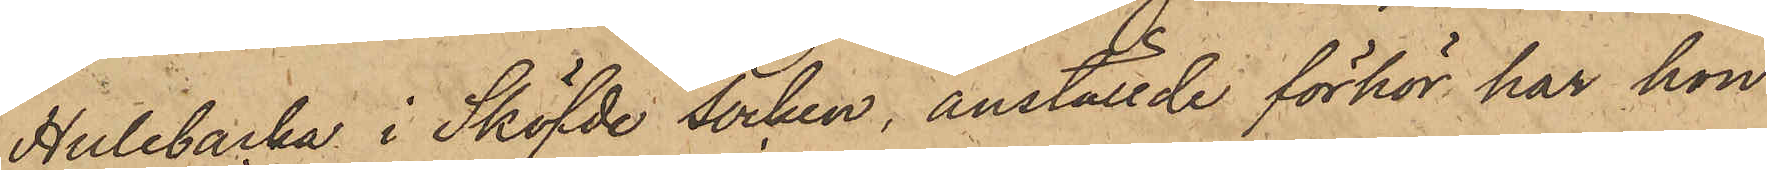Hulebacka i Sköfde socken, anställde förhör har hon
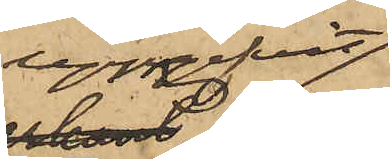uppgifvit
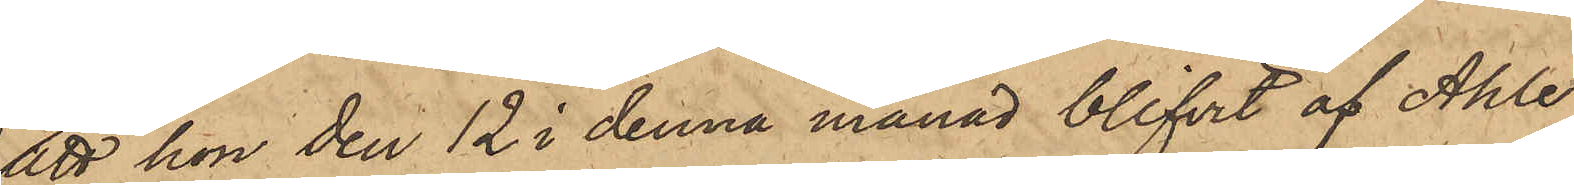att hon den 12 i denna månad blifvit af Ahle
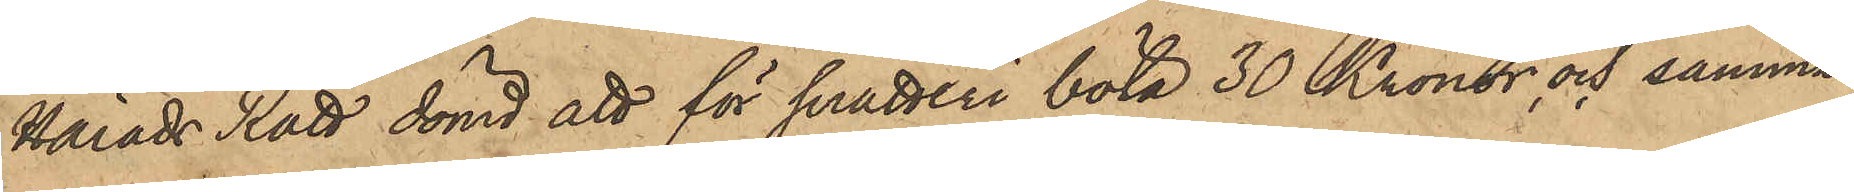Härads Rätt dömd att för snatteri böta 30 Kronor, och, samma
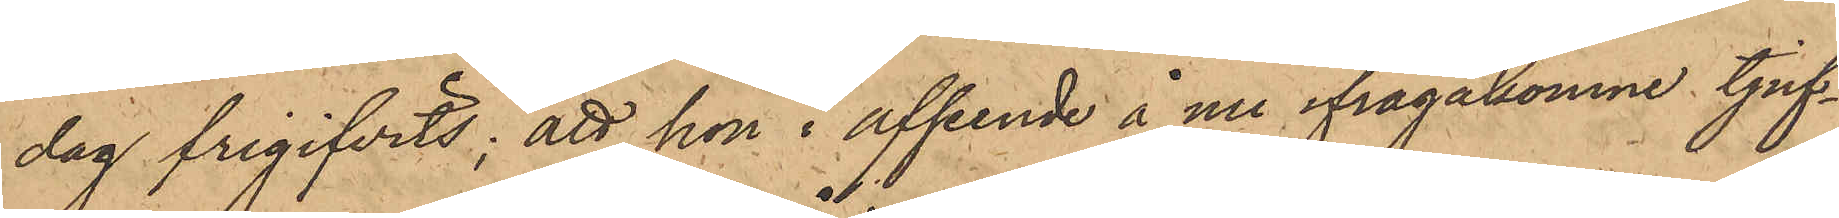dag frigifvits; att hon i afseende å nu ifrågakomne tjuf¬
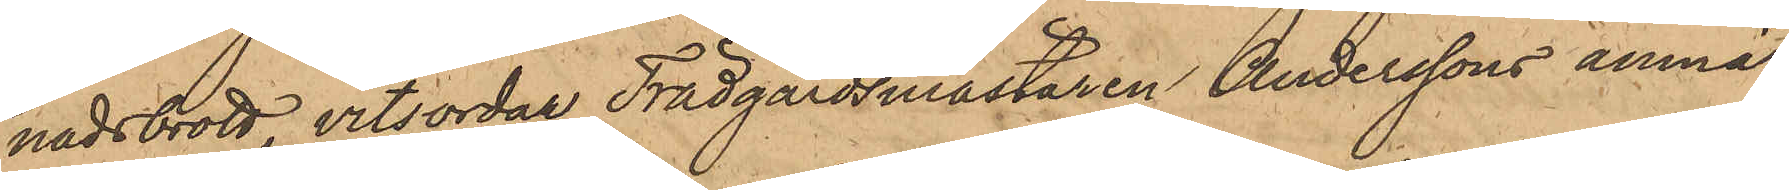nadsbrott, vitsordar Trädgårdsmästaren Anderssons anmä¬
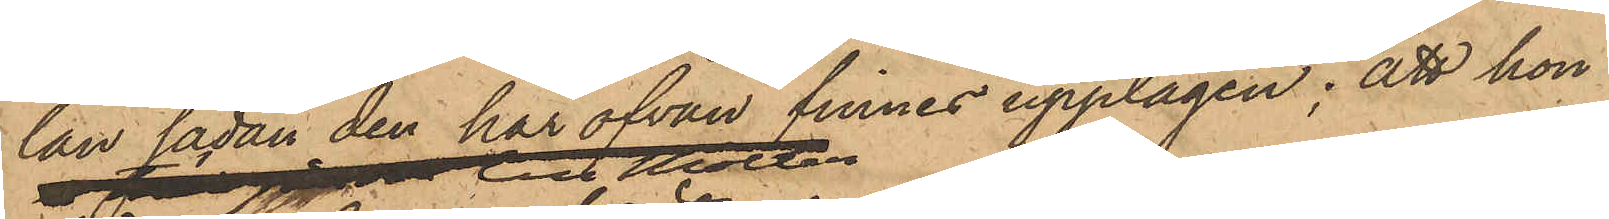lan sådan den här ofvan finnes upptagen; att hon
